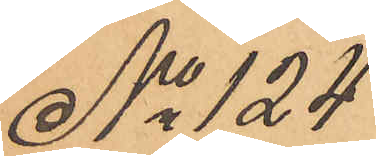No 124
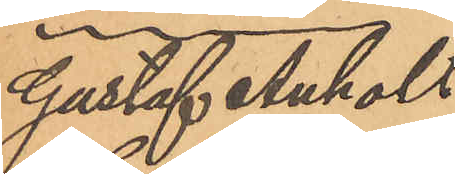Gustaf Anholt
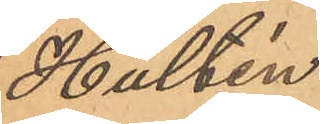Hultén
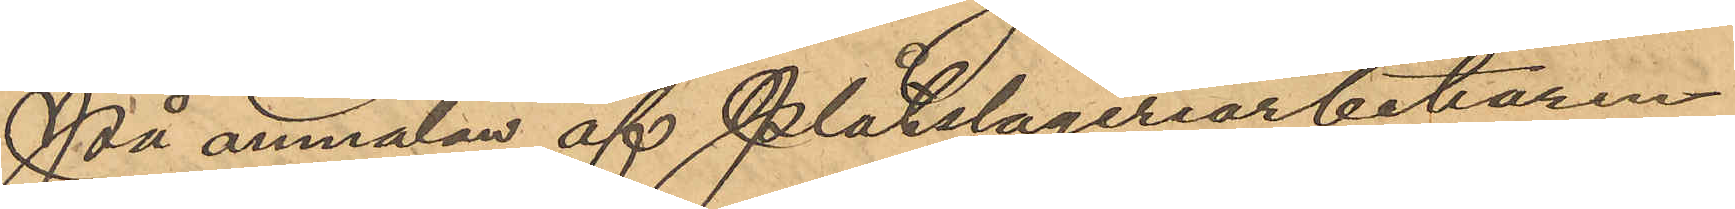På anmälan af Plåtslageriarbetaren
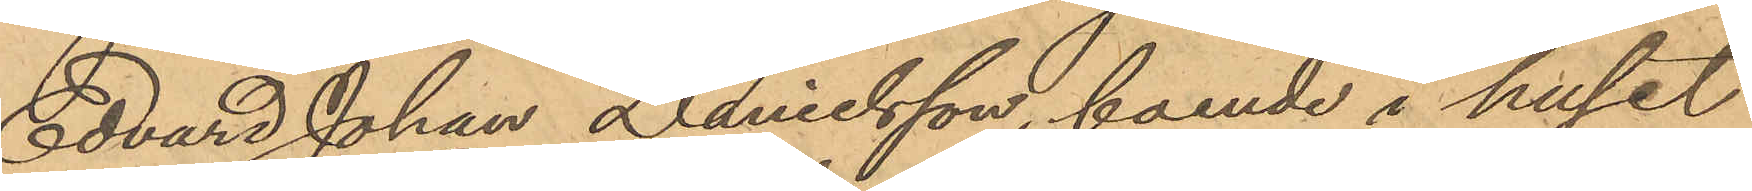Edvard Johan Danelsson, boende i huset
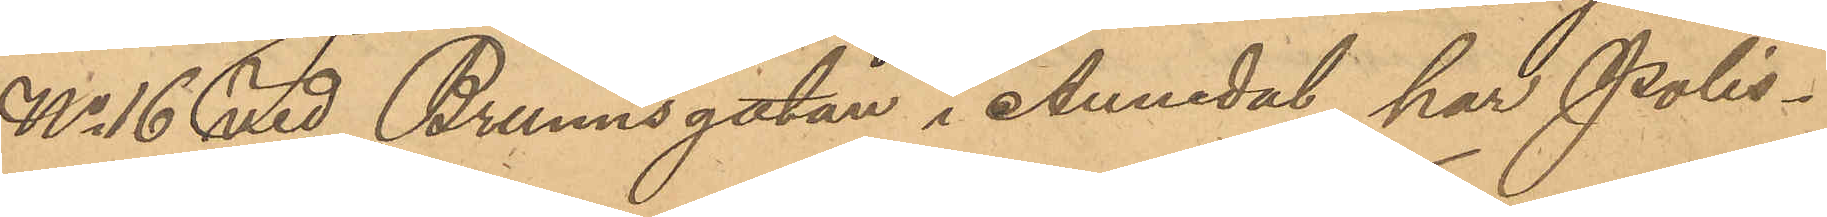No 16 vid Brunnsgatan i Annedal, har Polis¬
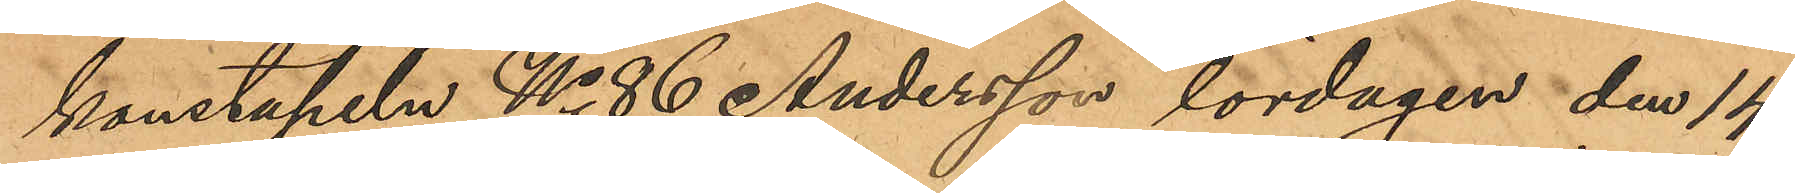konstapeln No 86 Andersson lördagen den 14
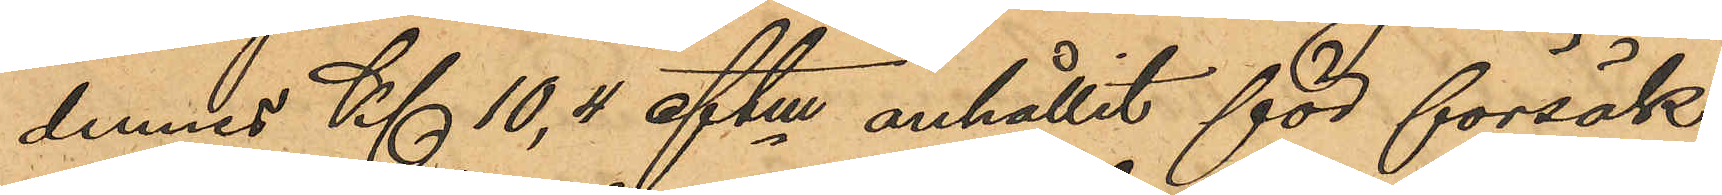dennes Kl 10,4 eftm anhållit för försök
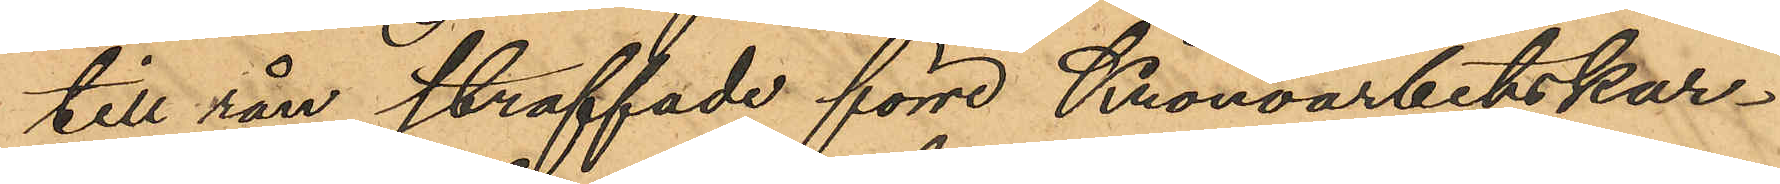till rån straffade förre Kronoarbetskar¬
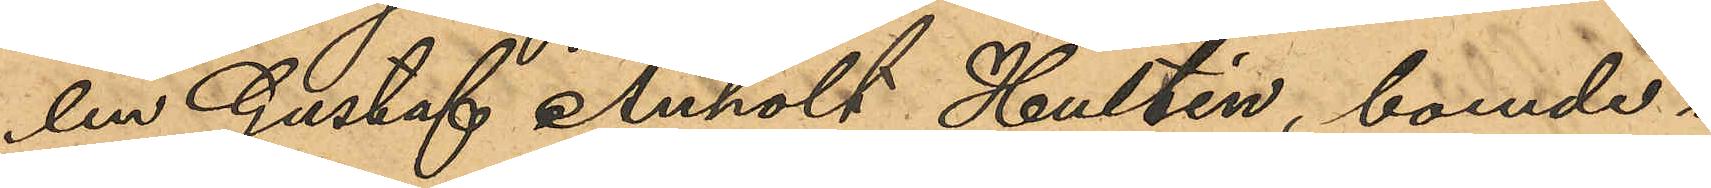len Gustaf Anholt Hultén, boende i
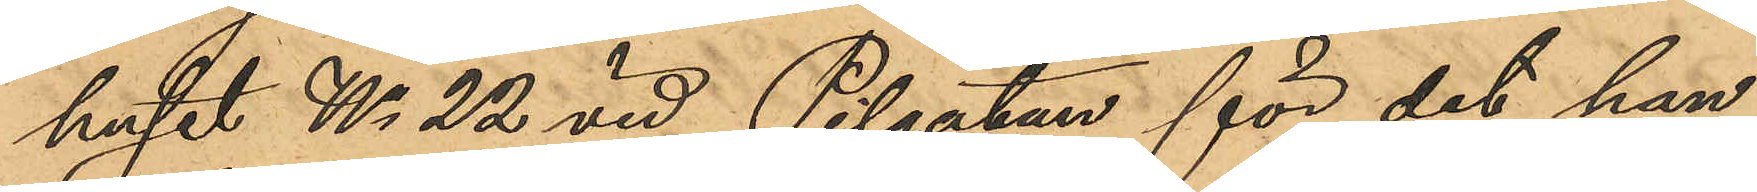huset No 22 vid Pilgatan för det han
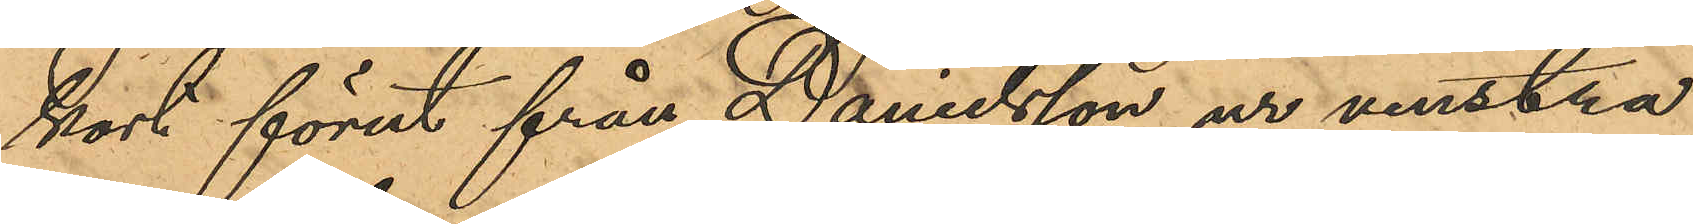kort förut från Danielsson ur venstra
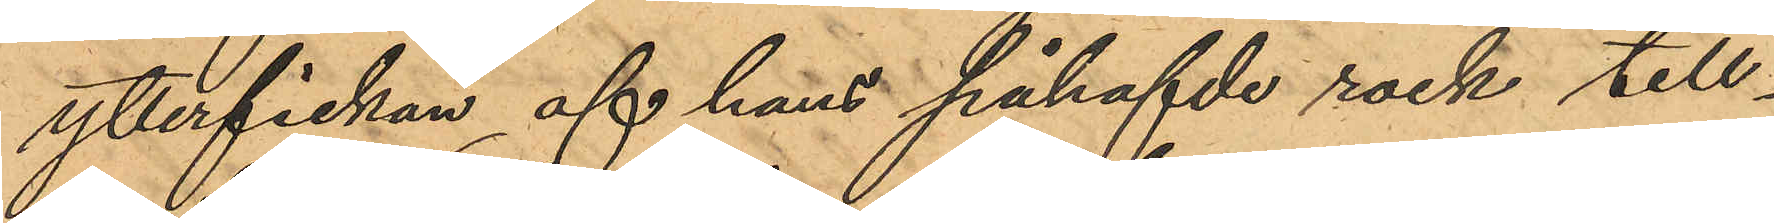ytterfickan af hans påhafvde rock till¬
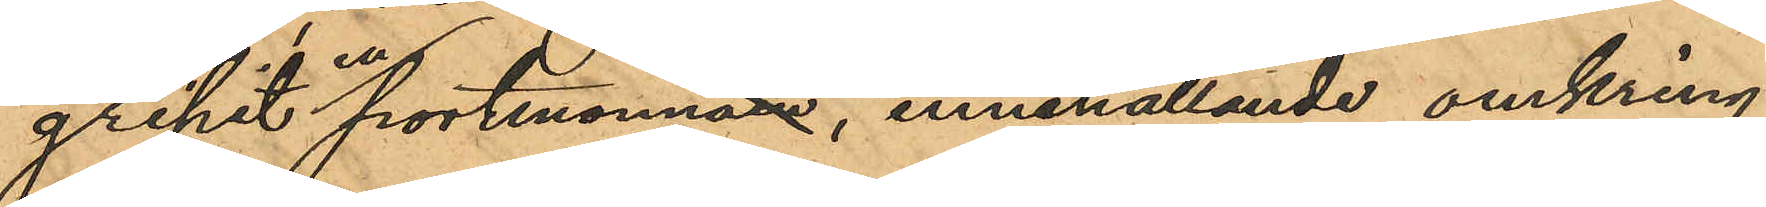gripit en portmonnä, innehållande omkring
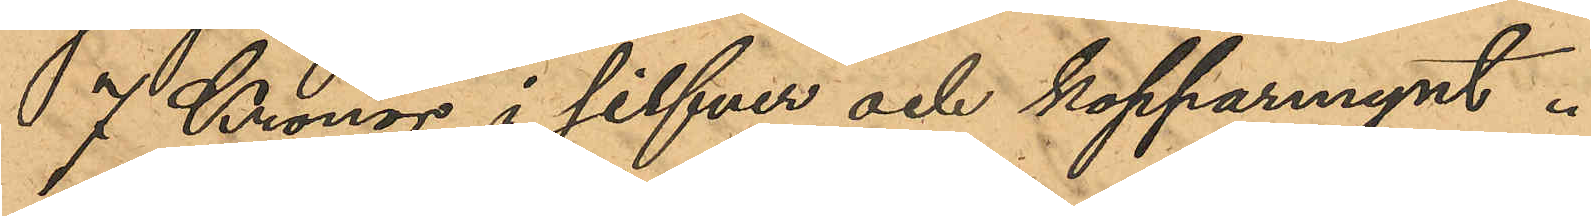7 Kronor i silfver och kopparmynt.
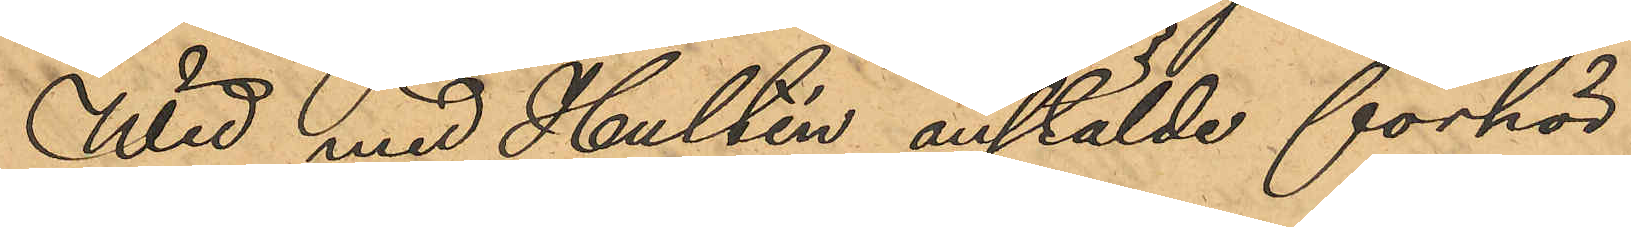Wid med Hultén anstälde förhör
